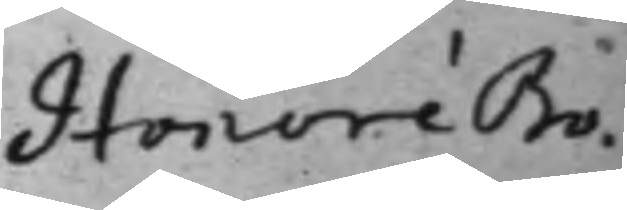Honoré Bo¬
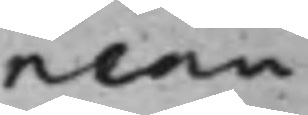neau
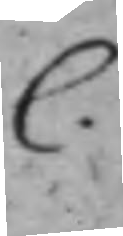C.
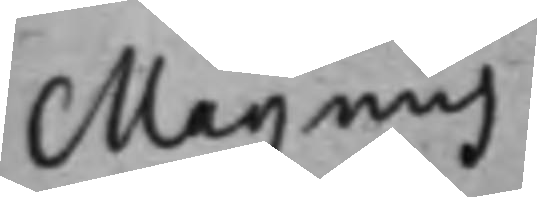Magnus
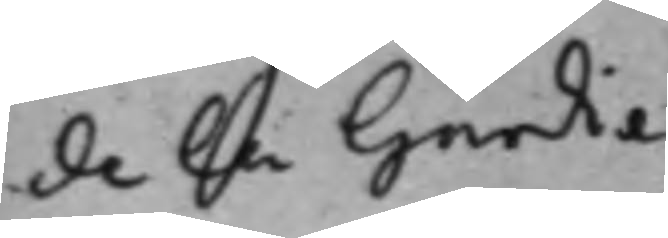de la Gardie
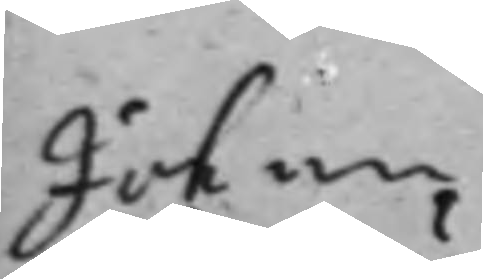Johan
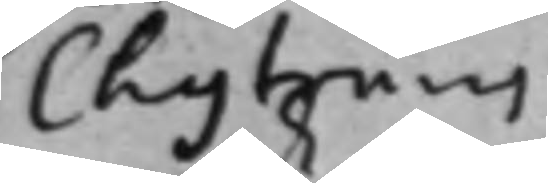Chyträus
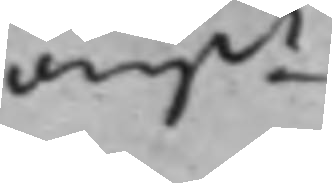angde
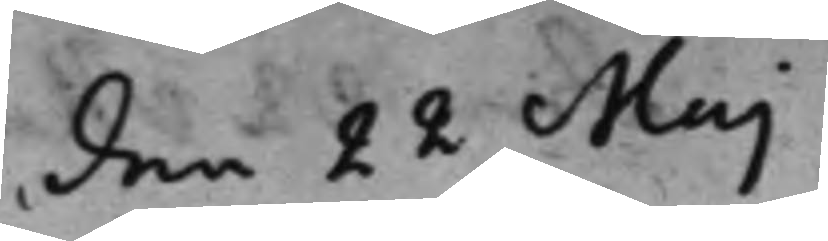den 22 Maj
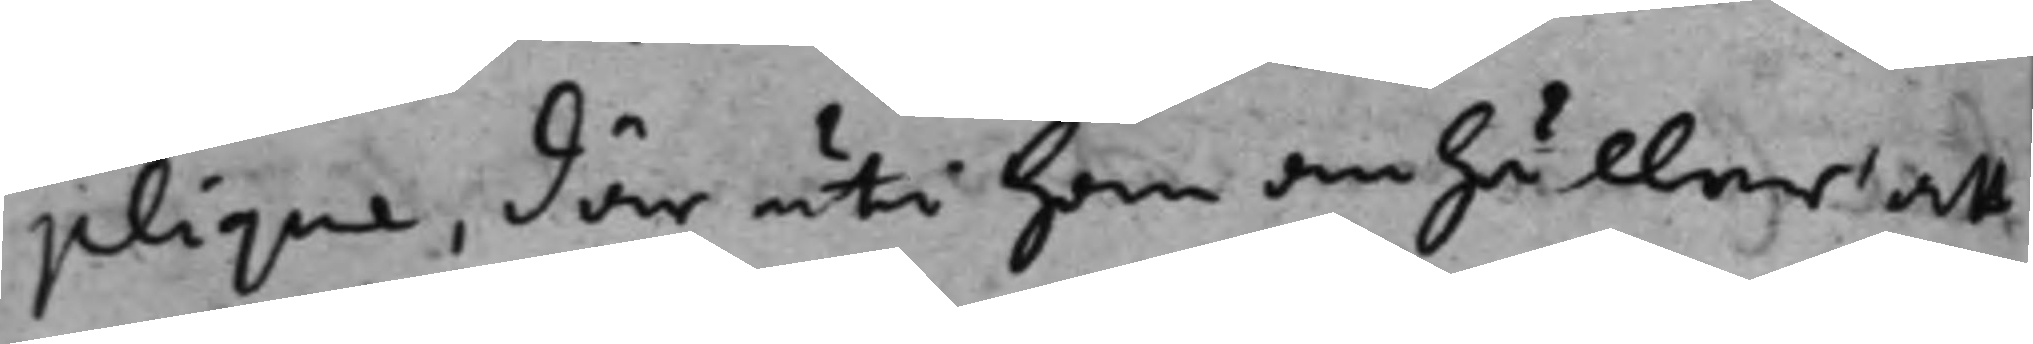plique, där uti han anhåller att
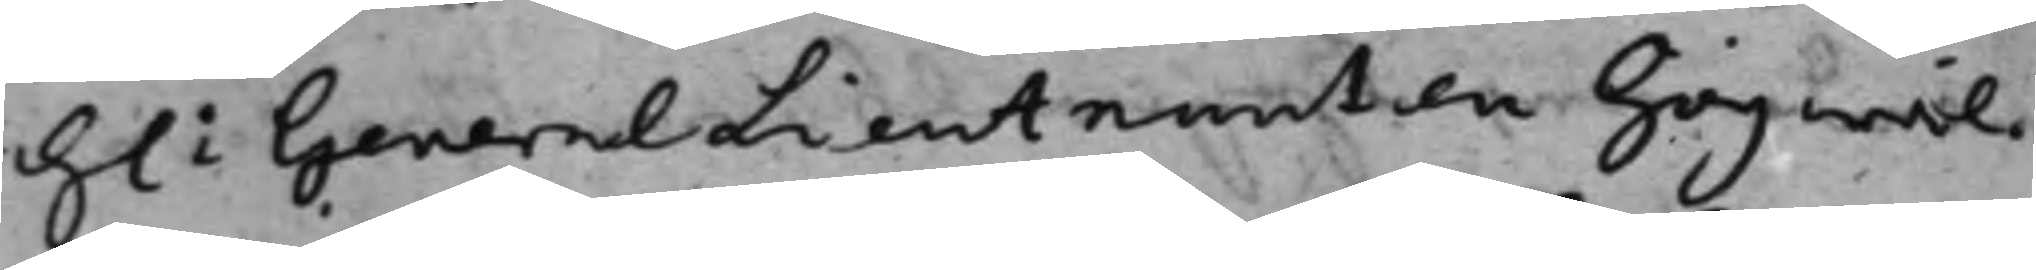h: Generallieutnanten högwäl¬
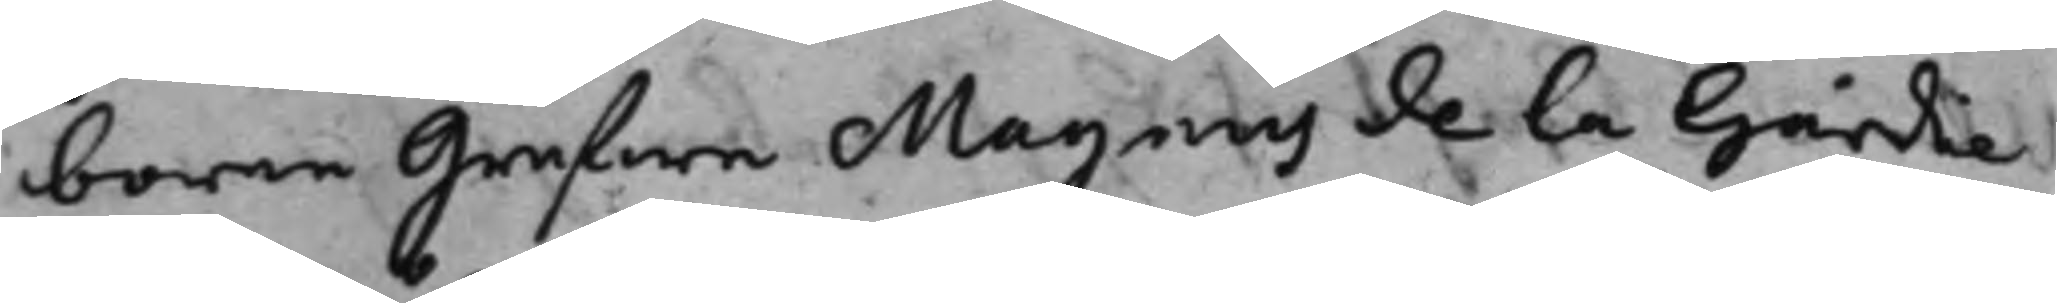borne grefwe Magnus de la Gardie
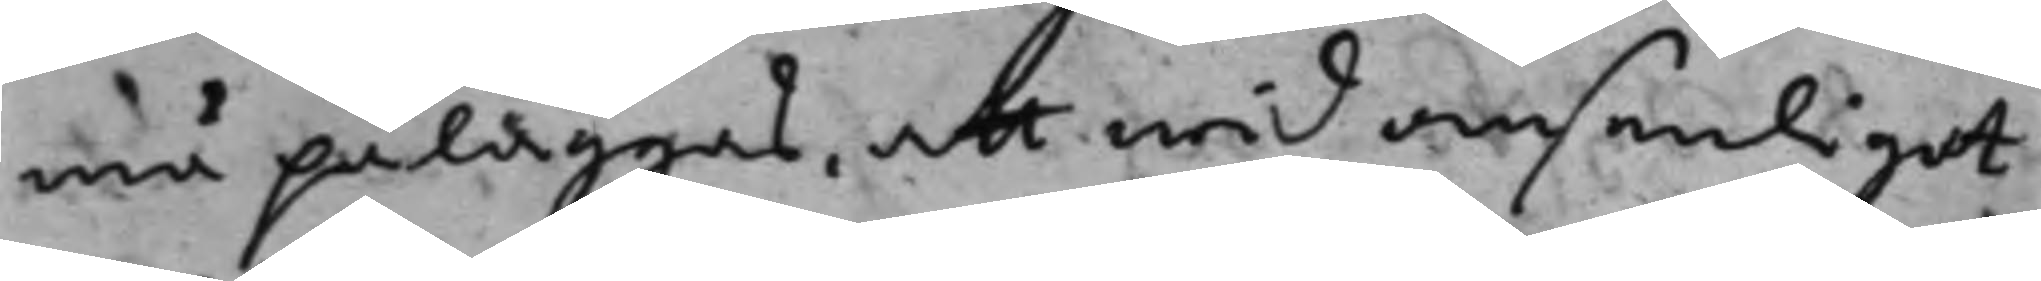må påläggas, att wid ansenliget
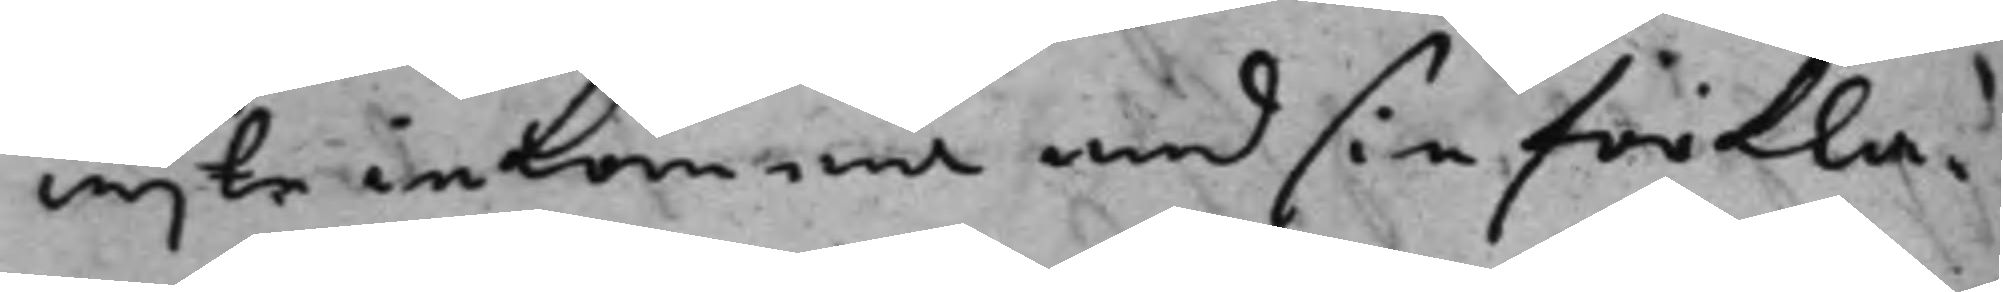wijte inkomma med sin förkla¬
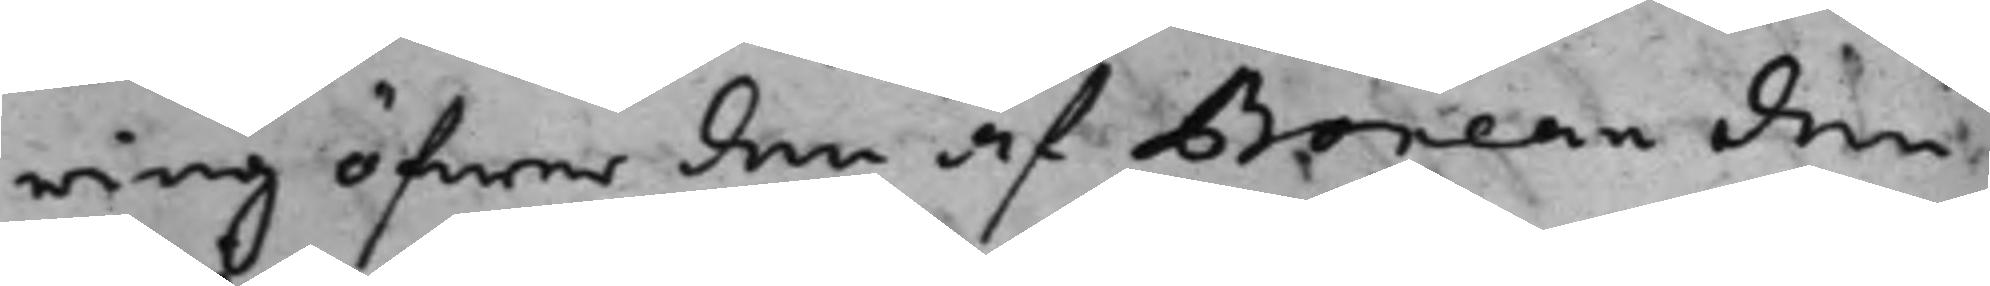ring öfwer den af Boneau den
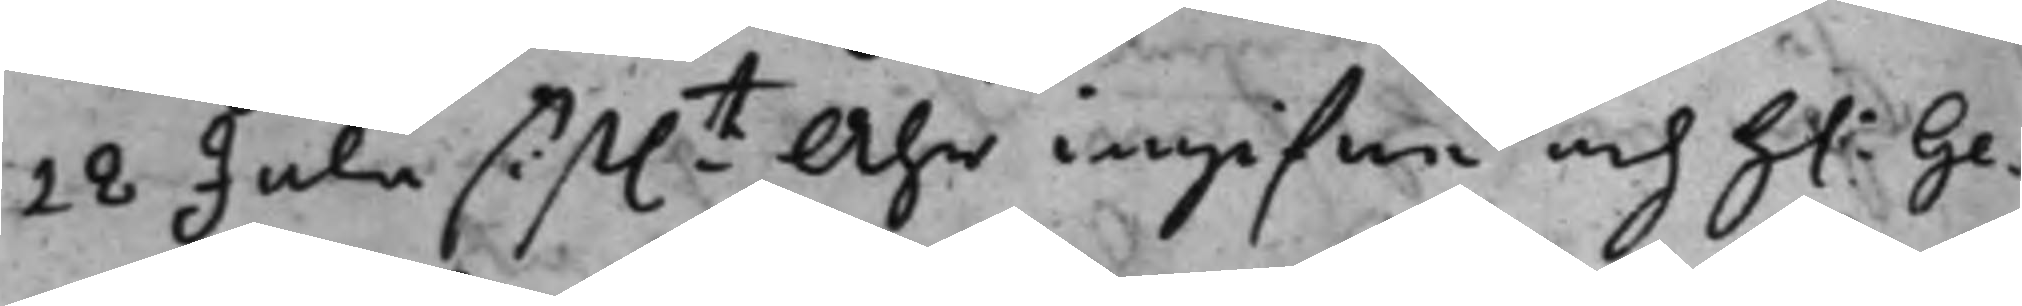28 Julii sist.t Åhr ingifne och h: Ge¬
